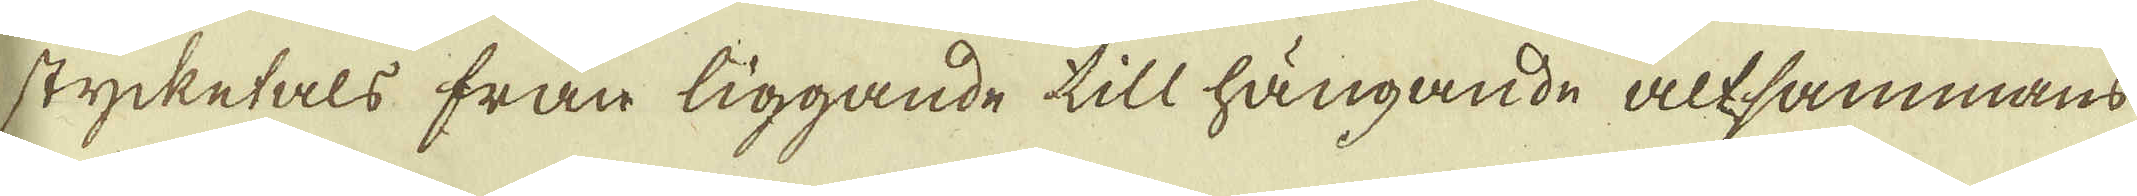stycketals från liggande till hängande altsammans
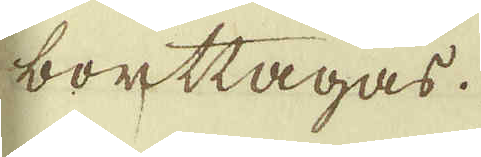borttagas.
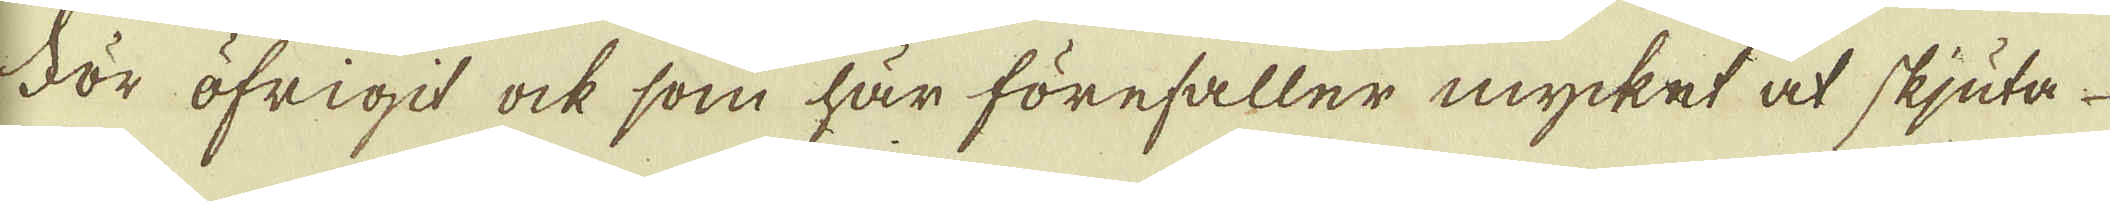För öfrigit ock som här förefaller mycket at skjuta
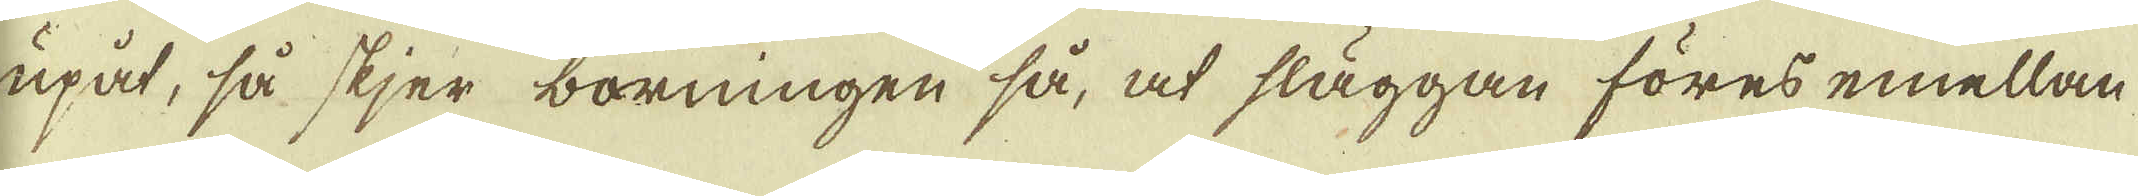upåt, så skjer borningen så, at släggan föres emellan
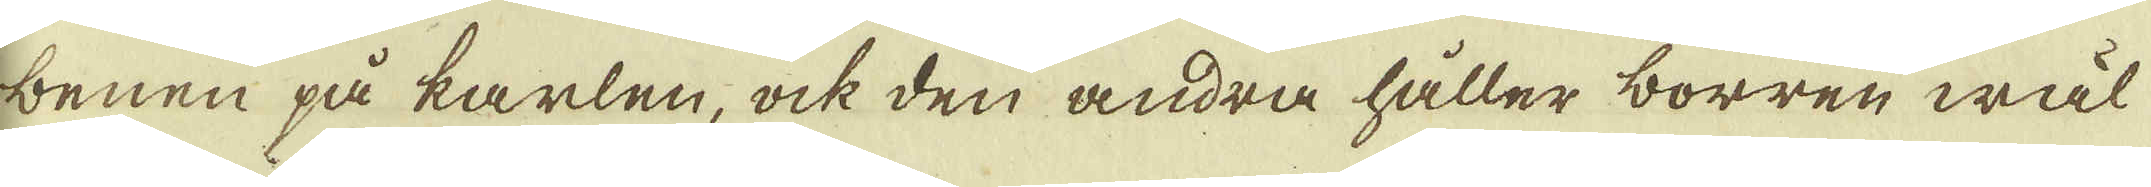benen på karlen, ock den andra håller borren wäl
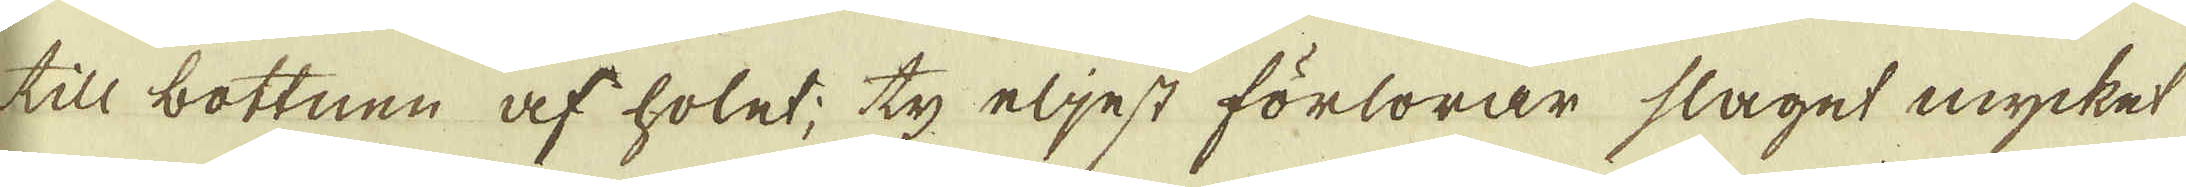till bottnen af holet; ty eljest förlorar slaget mycket
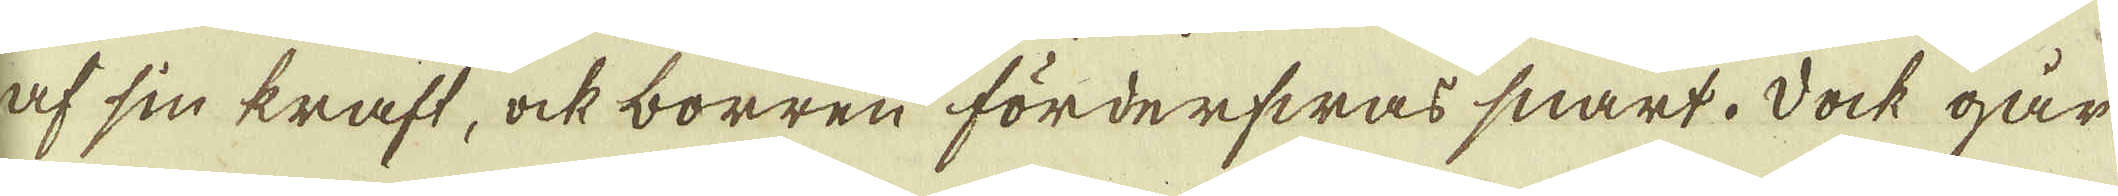af sin kraft, ock borren förderfwas snart. Dock går
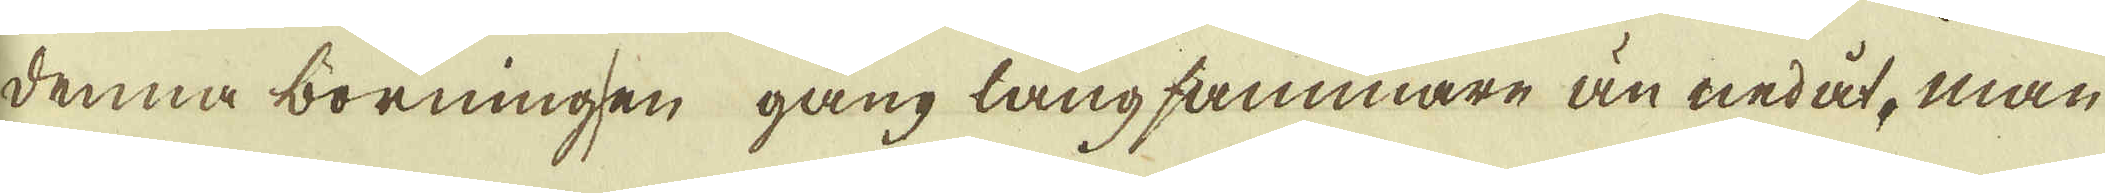denna borningen gång långsammare än nedåt, man
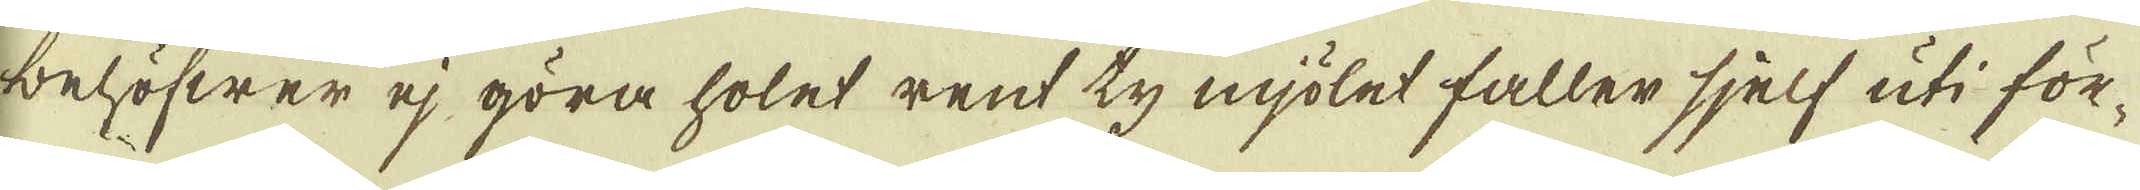behöfwer ej göra holet rent ty mjölet faller sjelf uti för-
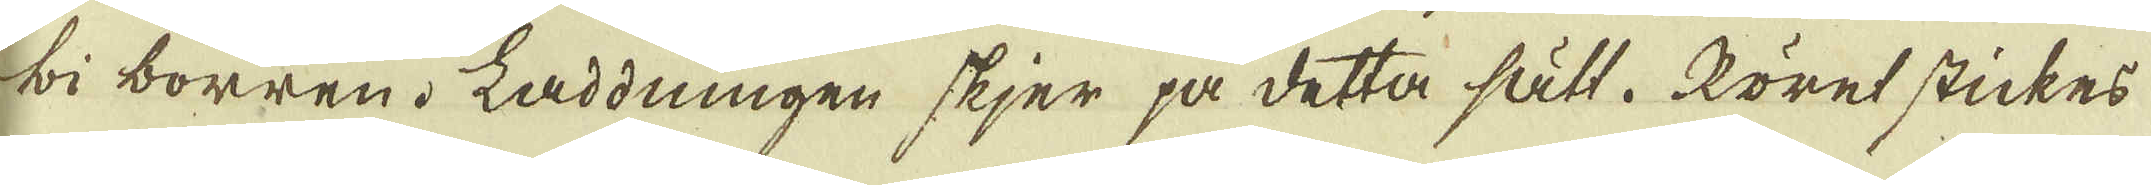bi borren. Laddningen skjer på detta sätt. Röret stickes
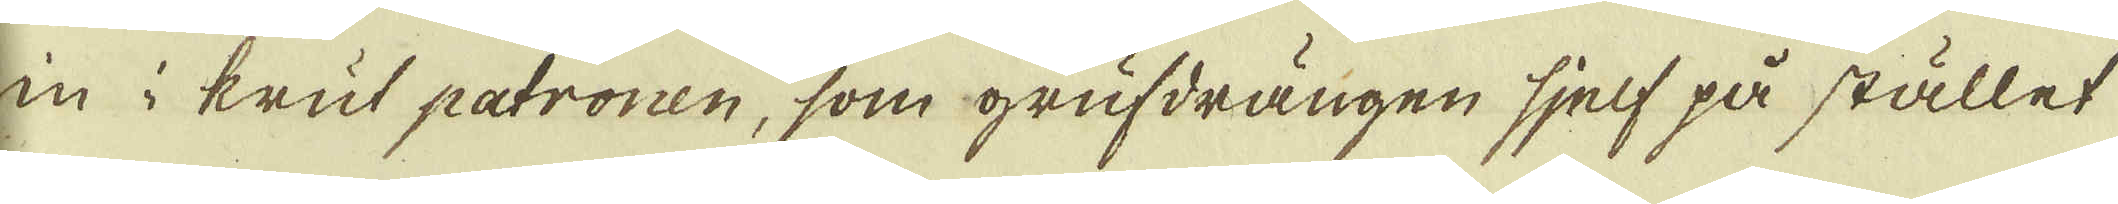in i krut patronen, som grufdrängen sjelf på stället
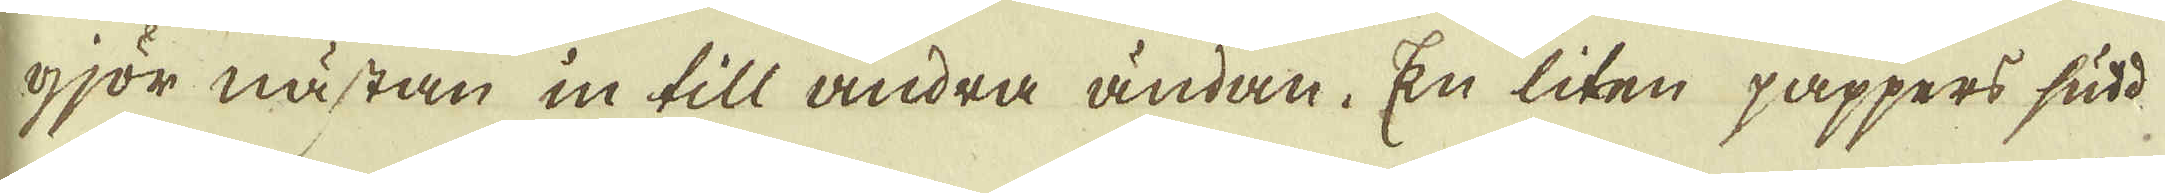gjör nästan in till andra ändan. En liten pappers sudd
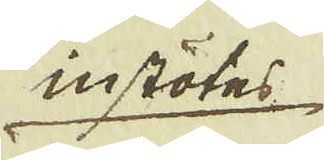instötes
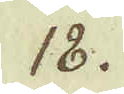18.
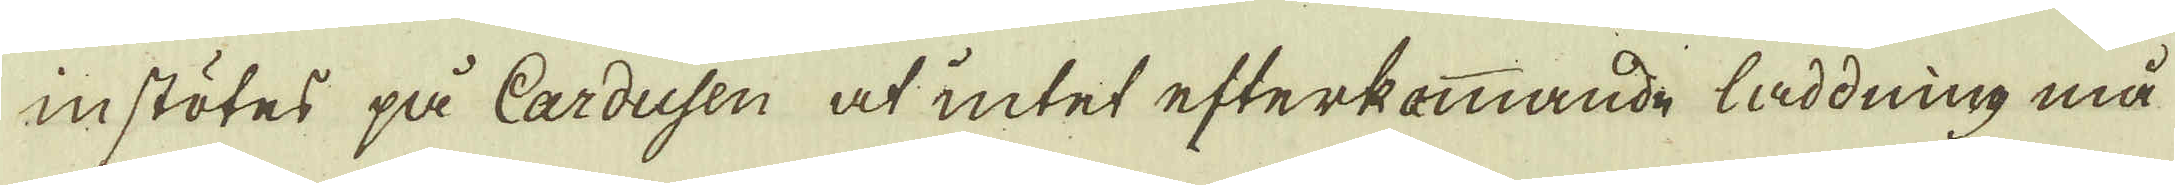instötes på Cardusen at intet efterkommande låddning må
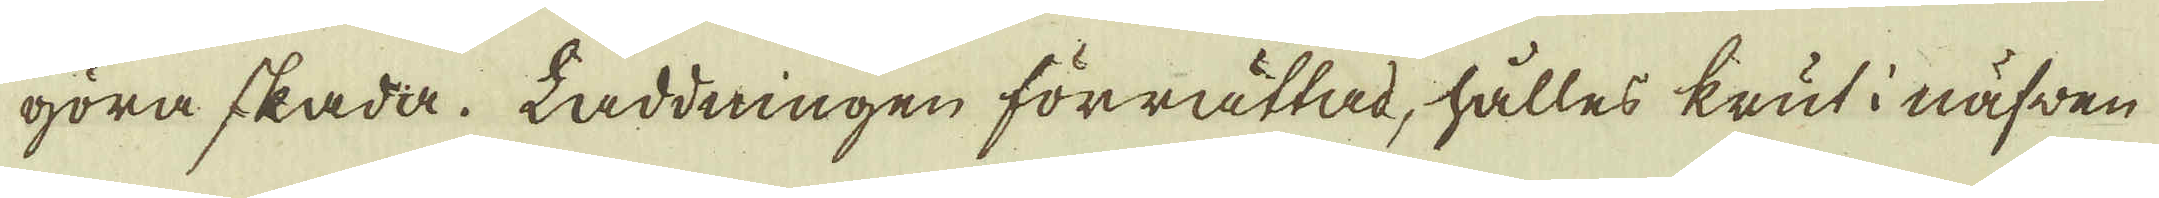göra skada. Laddningen förrättad, hålles krut i näfwen
